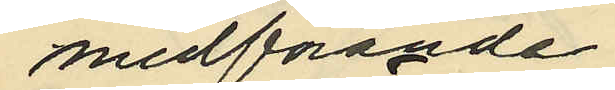medförande
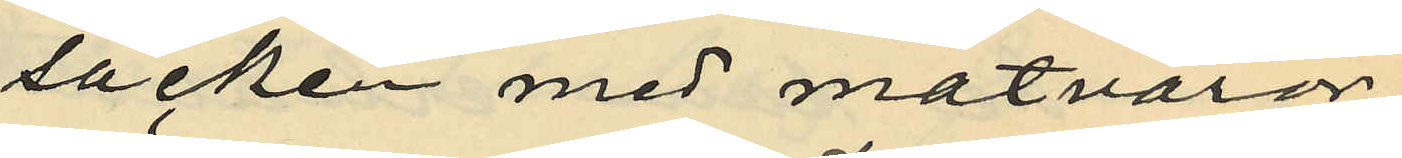säcken med matvaror
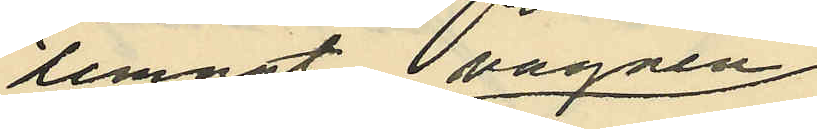lemnat vagnen
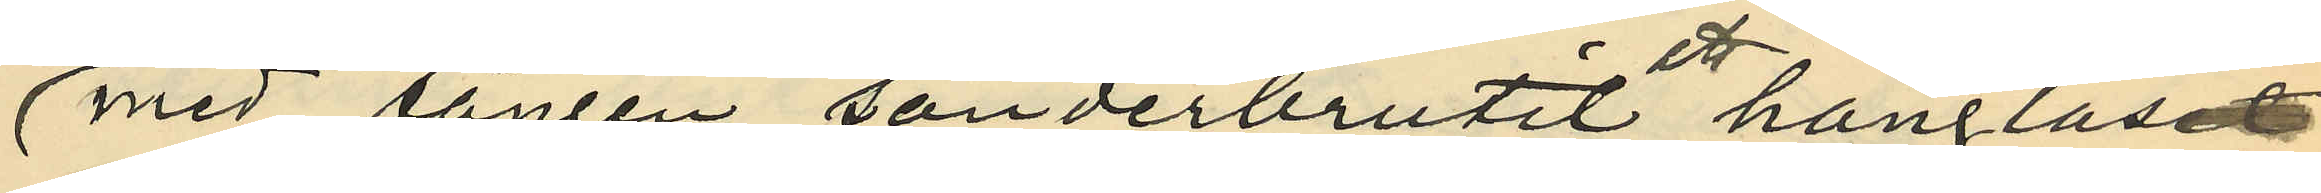med tången sönderbrutit hänglåset
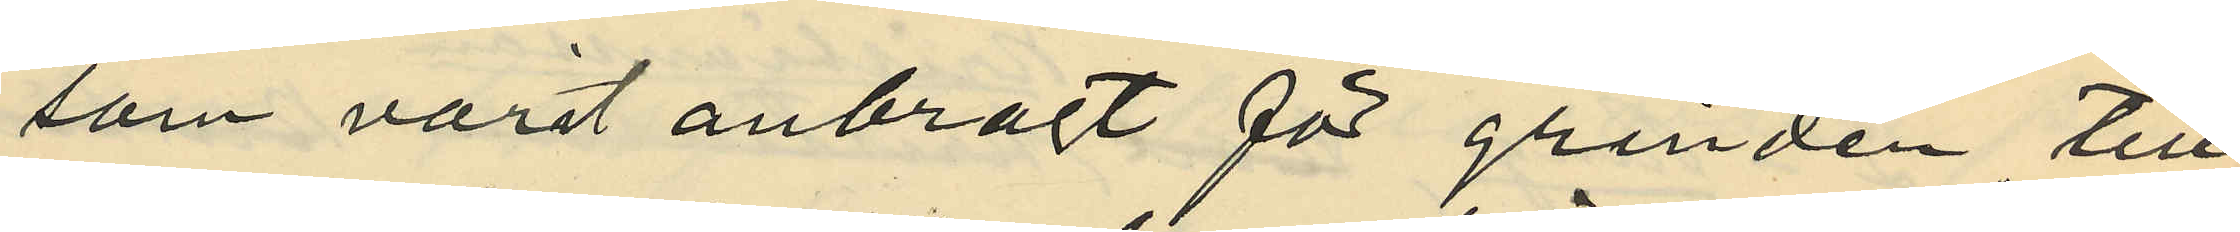som varit anbragt för grinden till
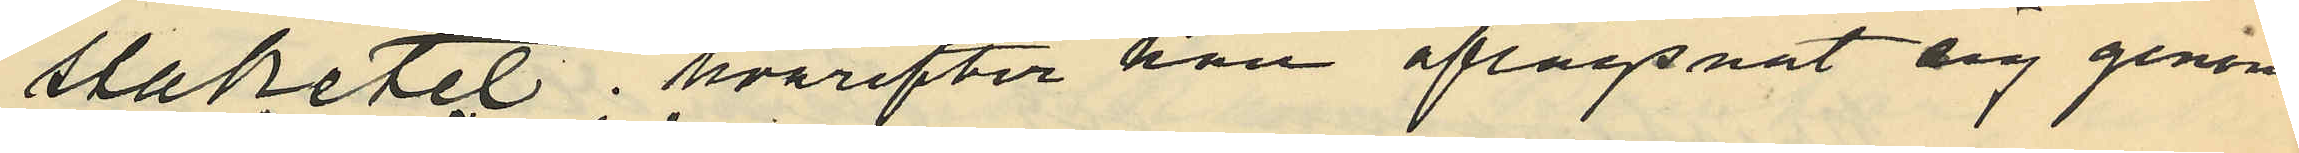staketet, hvarefter han aflägsnat sig genom
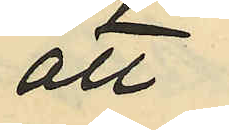att
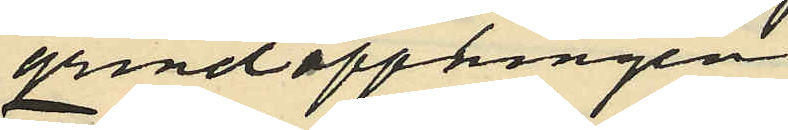grindöppningen
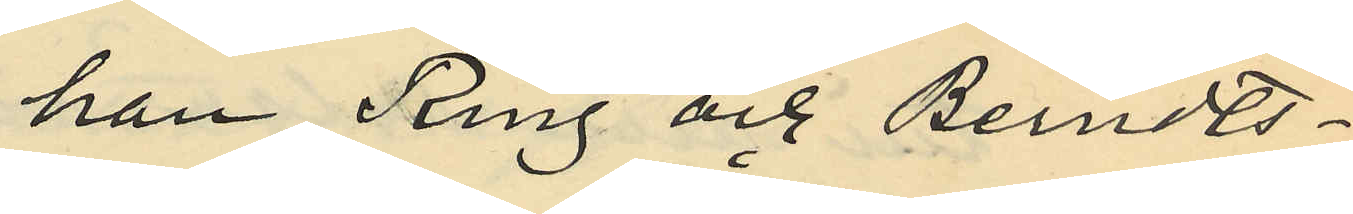han, Ring och Berndts¬
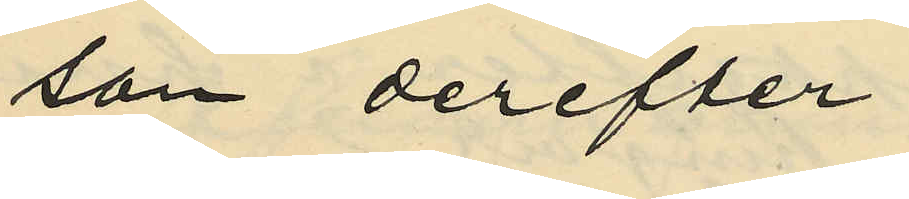son derefter
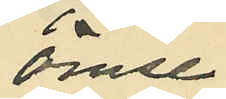ömse¬
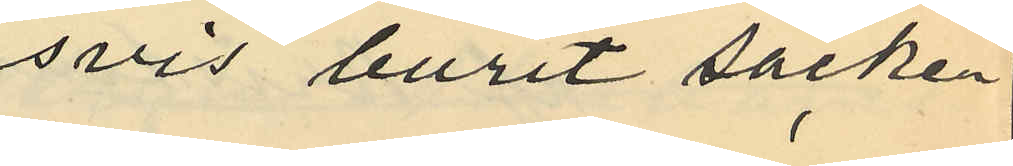svis burit säcken
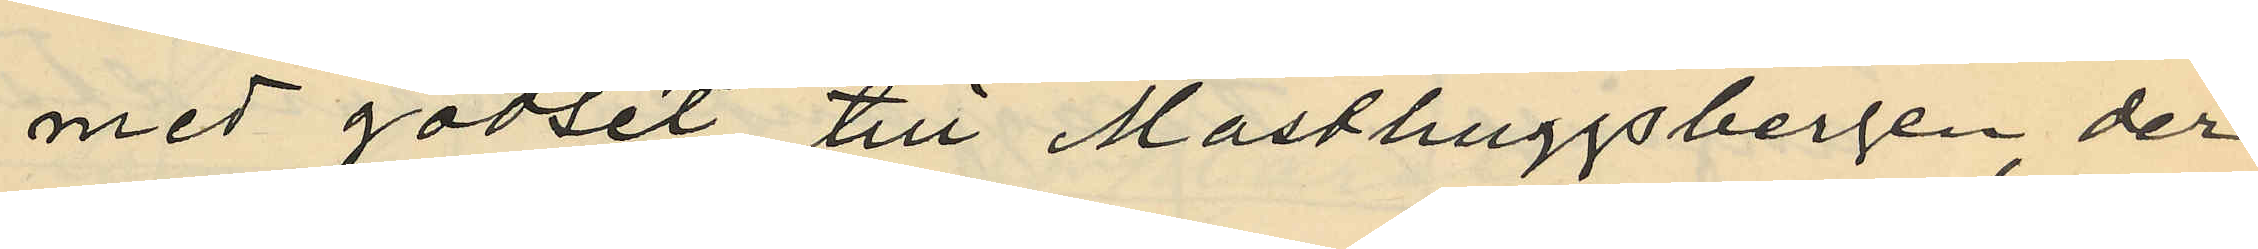med godset till Masthuggsbergen, der
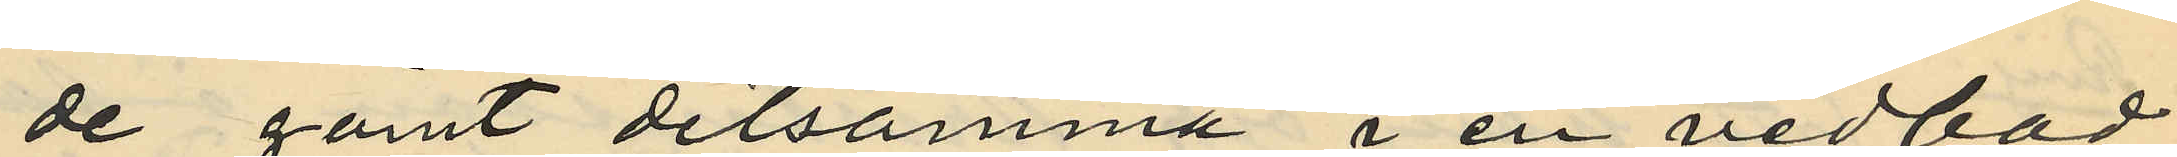de gömt detsamma i en vedbod,
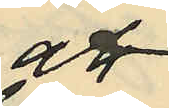att
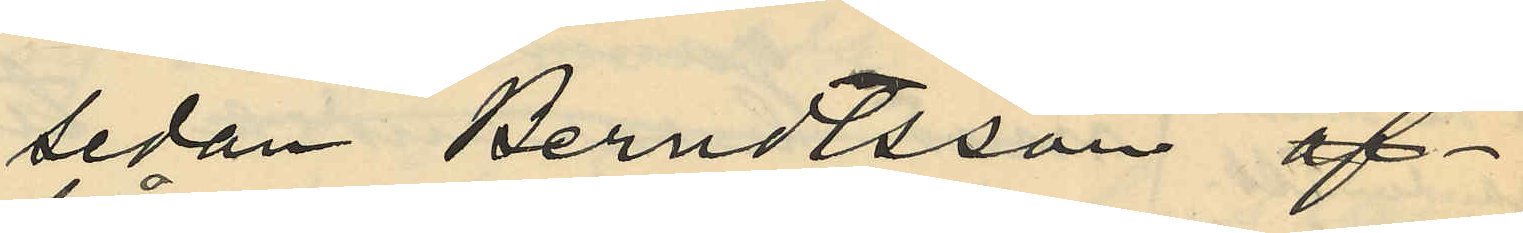sedan Berndtsson af¬
